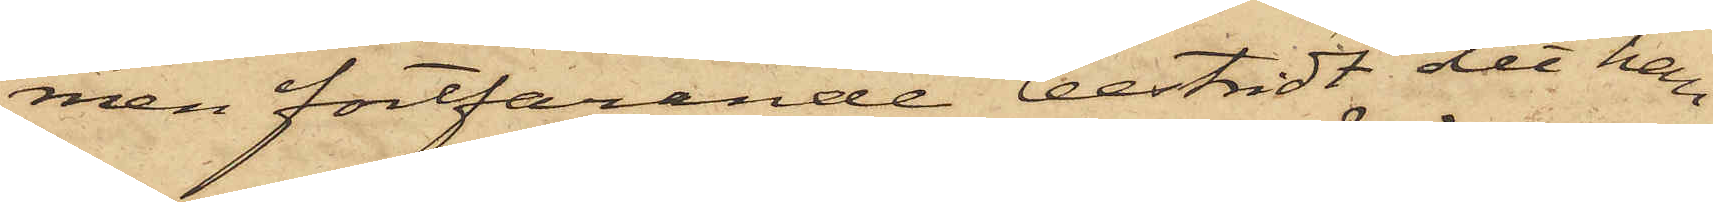men fortfarande bestridt det han
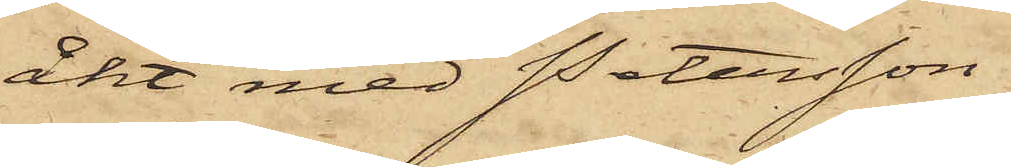åkt med Petersson
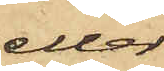eller
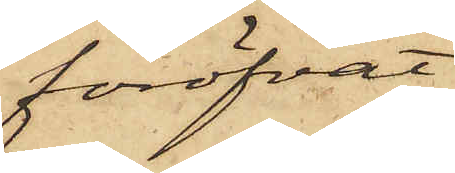föröfvat
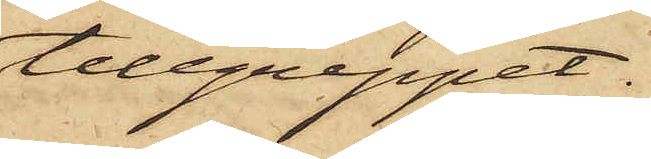tillgreppet.
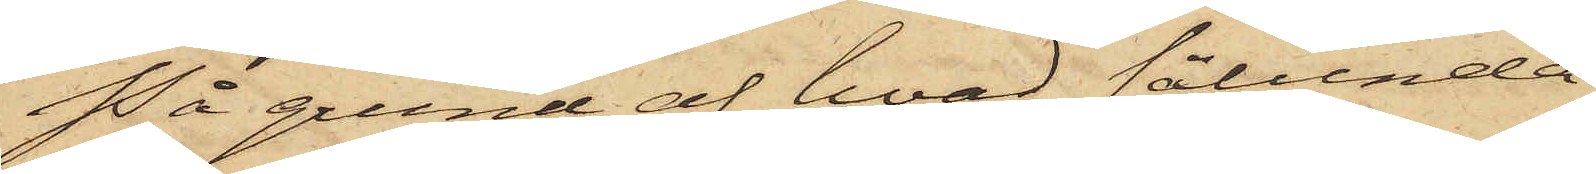På grund af hvad sålunda
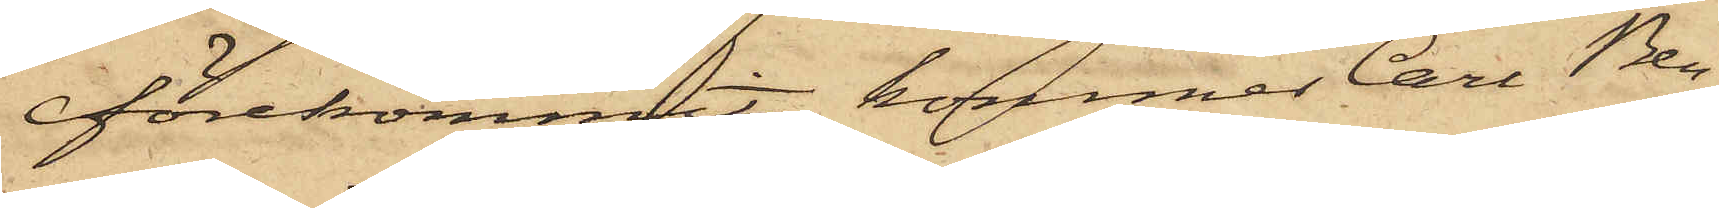förekommit, kommer Carl Ben¬
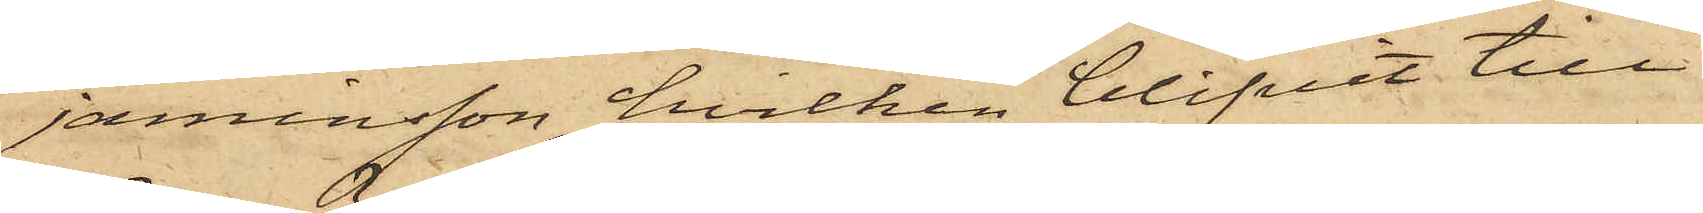jaminsson, hvilken blifvit till
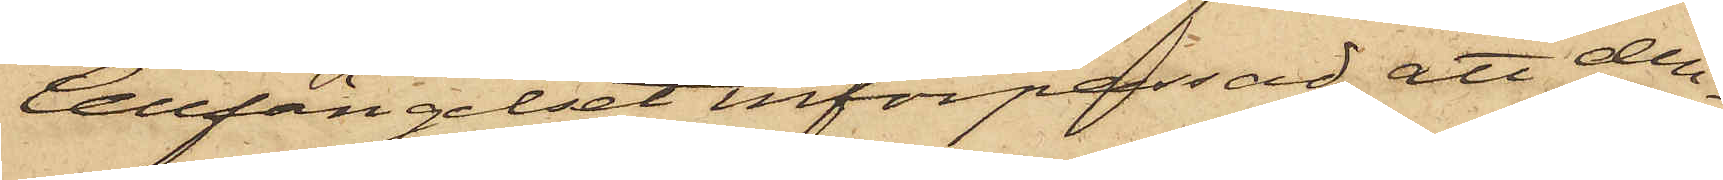Cellfängelset införpassad, att den¬
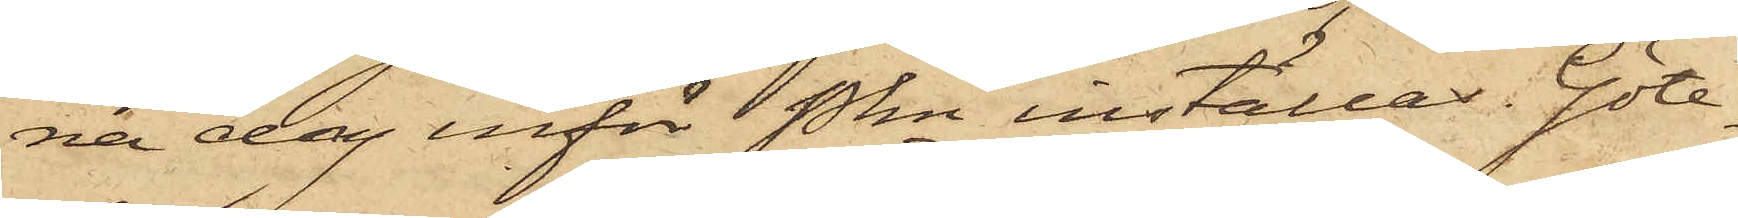na dag inför Pkn inställas. Göte¬
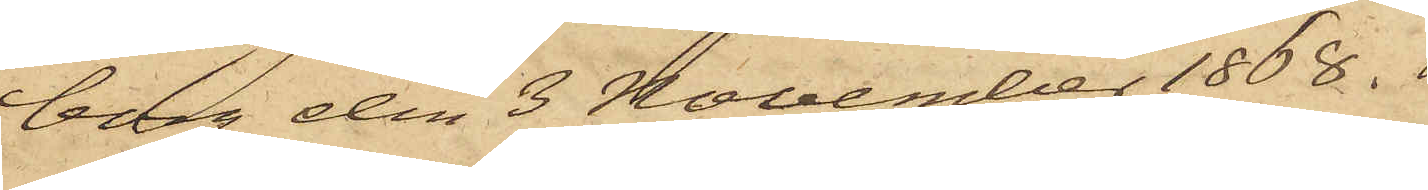borg den 3 November 1868.
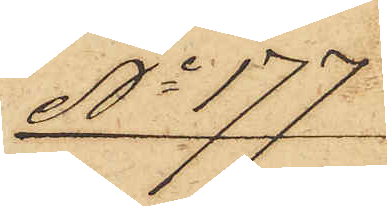No 177
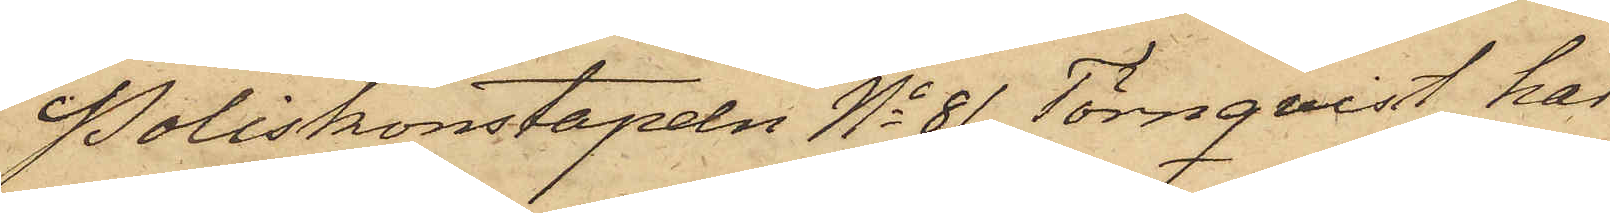Poliskonstapeln No 81 Törnqvist, har
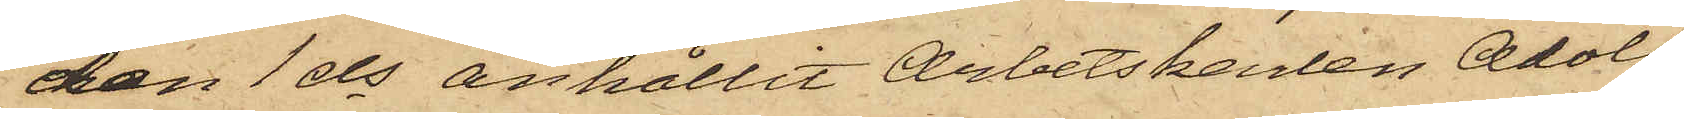den 1 ds anhållit Arbetskarlen Adolf
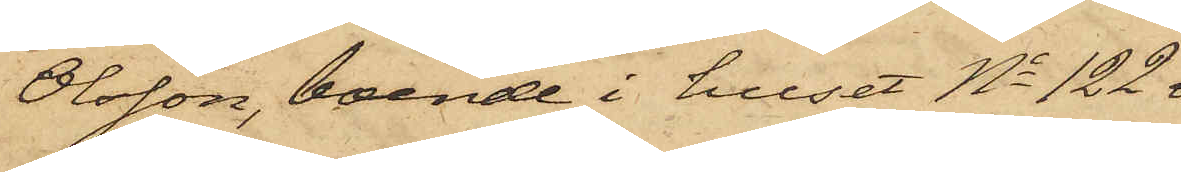Olsson, boende i huset No 122 
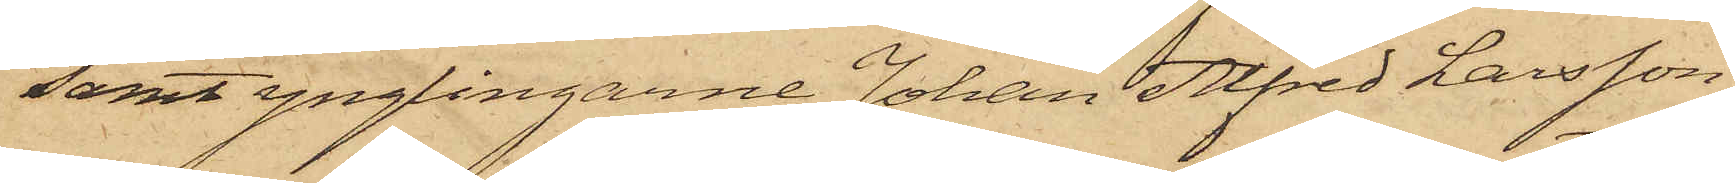samt ynglingarne Johan Alfred Larsson,
